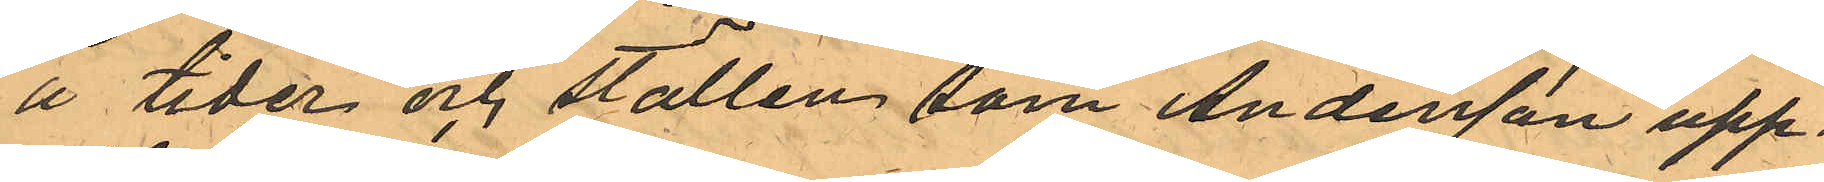å tider och ställen som Andersson upp¬
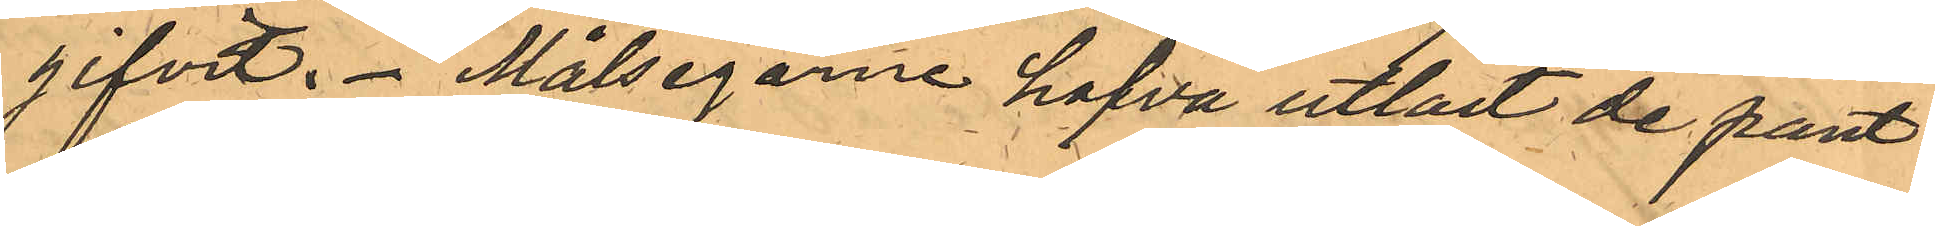gifvit. Målsegarne hafva utlöst de pant¬
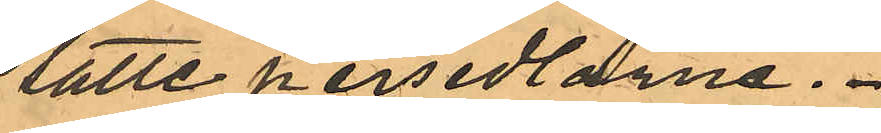satte persedlarne.
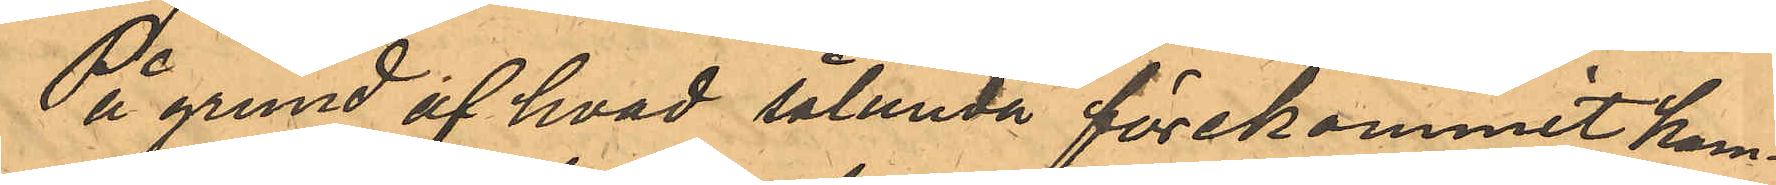På grund af hvad sålunda förekommit kom¬
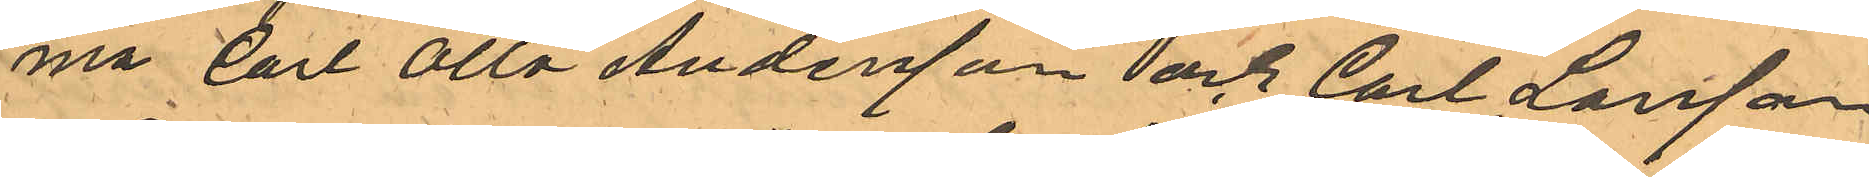ma Carl Otto Andersson och Carl Larsson
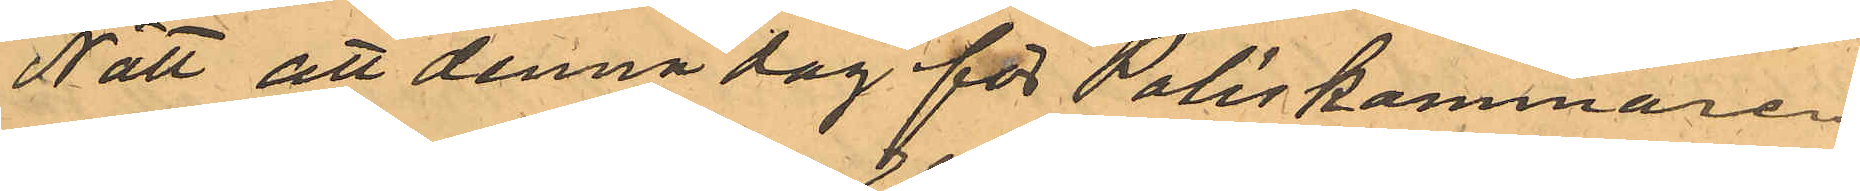Nätt att denna dag för Poliskammaren
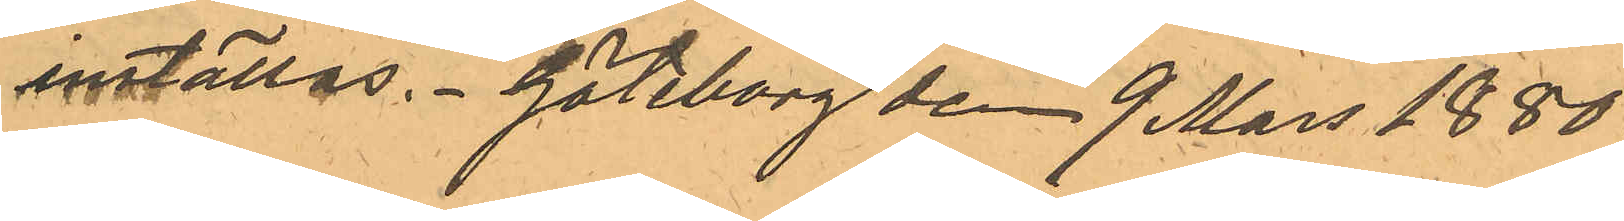inställas. Göteborg den 9 Mars 1880.
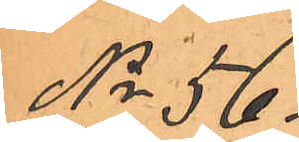No 56.
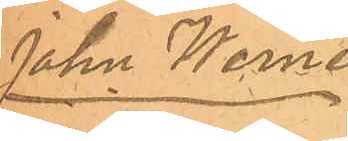John Werner
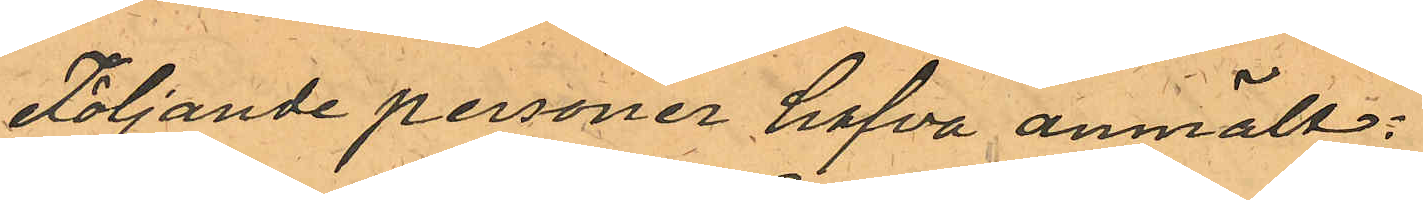Följande personer hafva anmält:
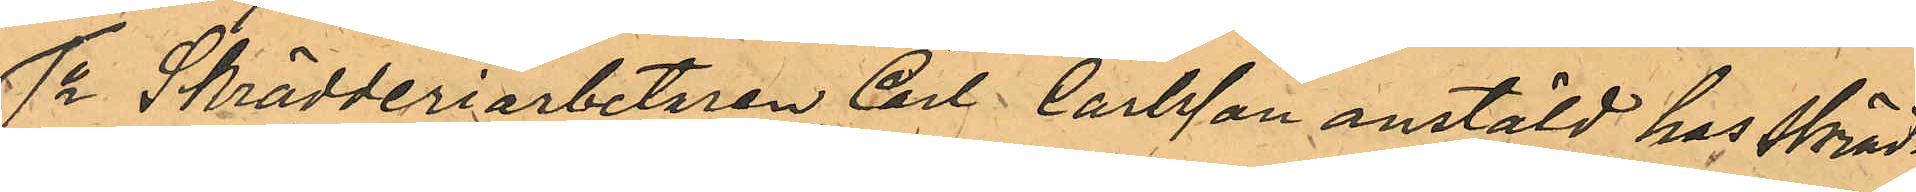1o Skrädderiarbetaren Carl Carlsson anstäld hos Skräd¬
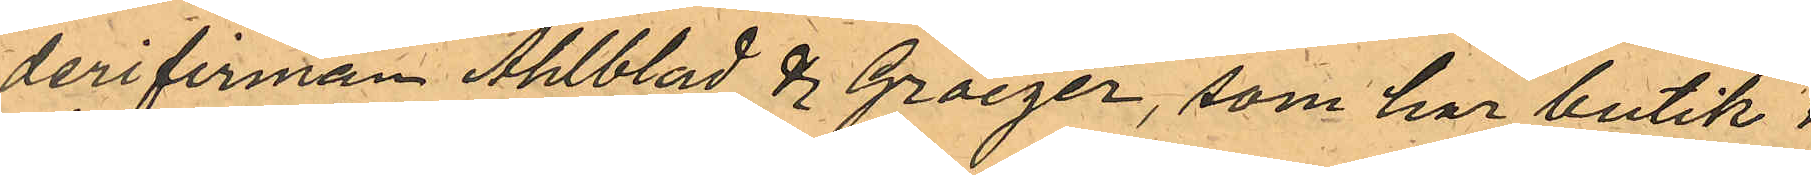derifirman Ahlblad & Groeger, som har butik i 
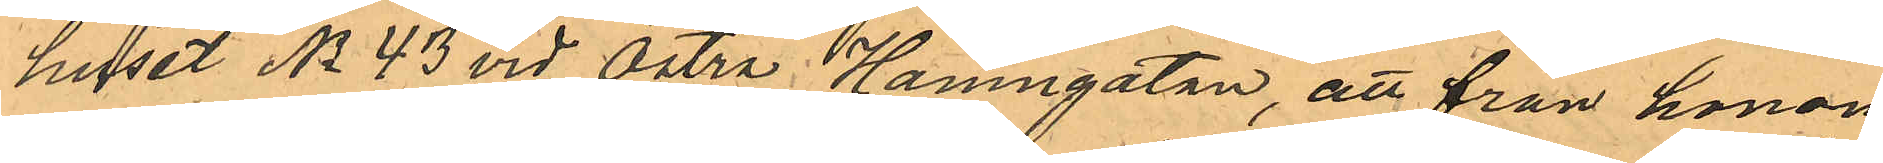huset No 43 vid Östra Hamngatan, att från honom
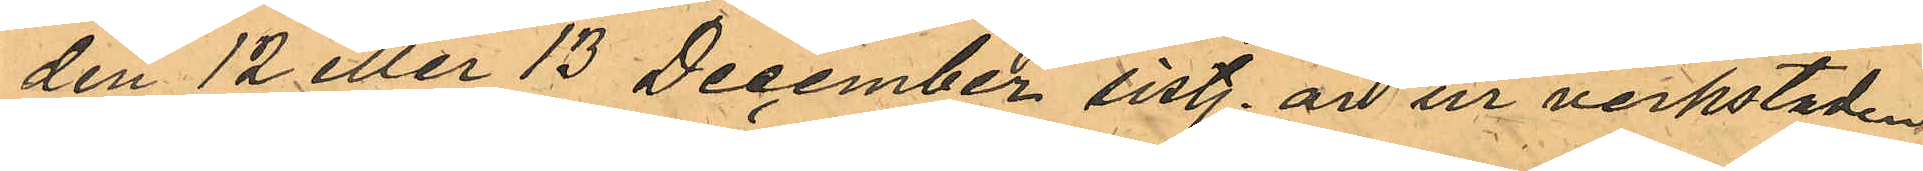den 12 eller 13 December sist. år ur verkstaden
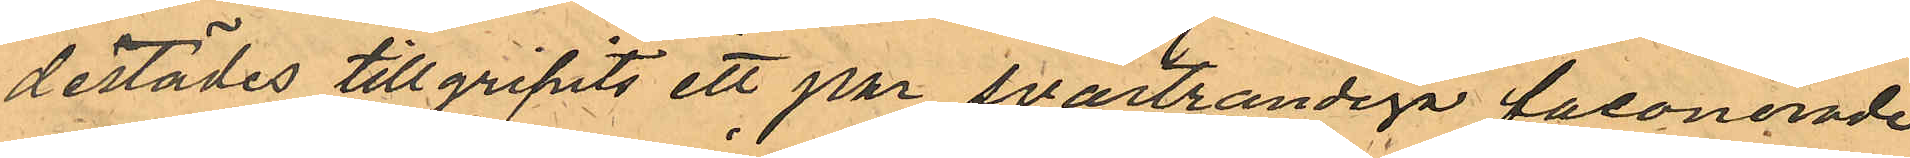derstädes tillgripits ett par svartrandiga faconerade
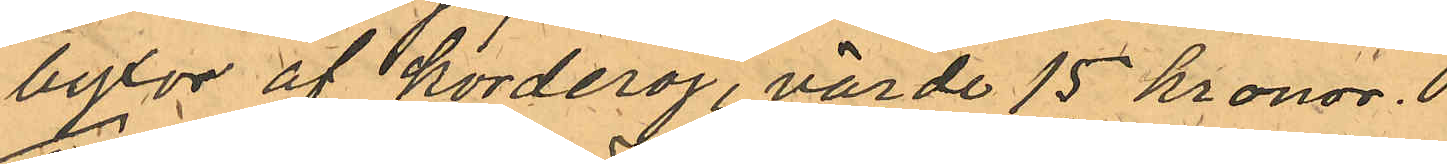byxor af korderoj, värde 15 kronor.
